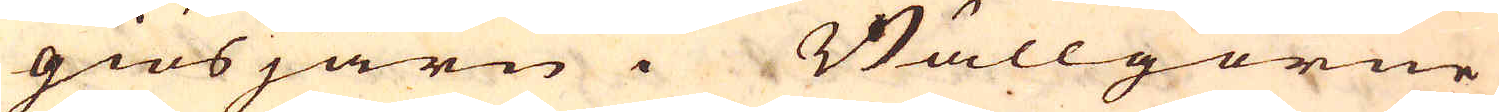giösjärn. Bällgorne
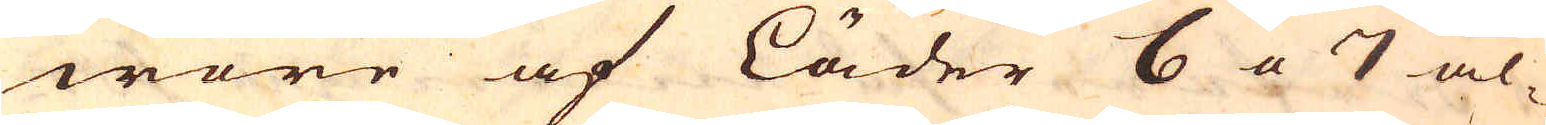wore af läder 6 a 7 al-
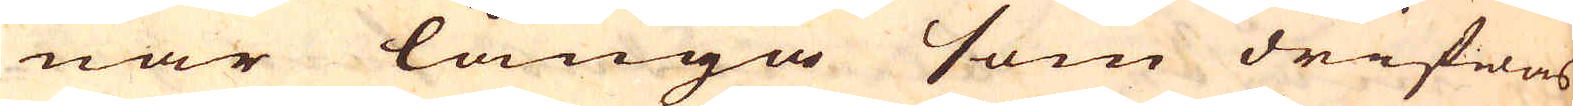nar långa som drifwas
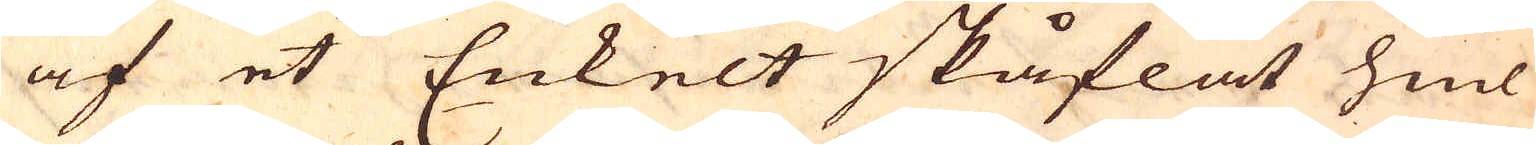af et Enkelt skåflat hiul
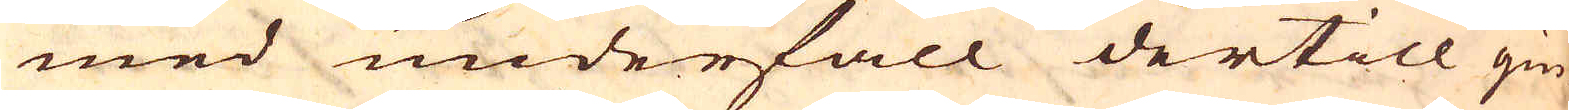med underfall dertill gin-
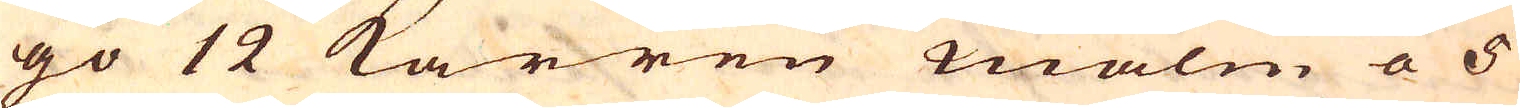go 12 karren malm a 5
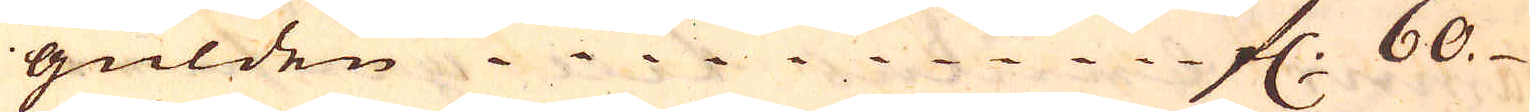gülden fl. 60
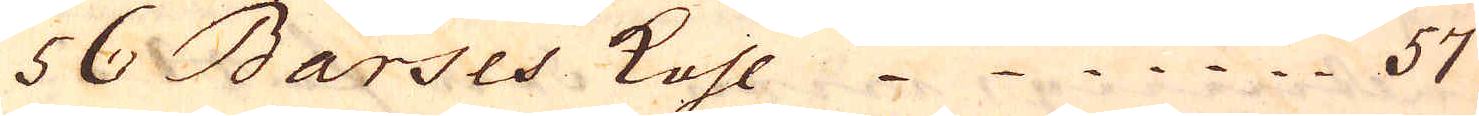56 Barses kohl 57
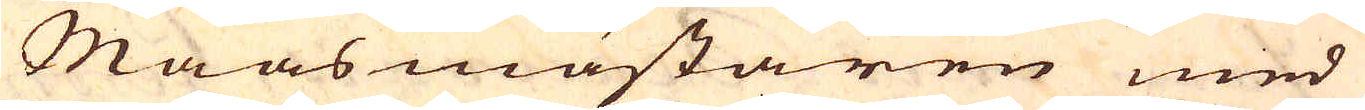Maasmästaren med
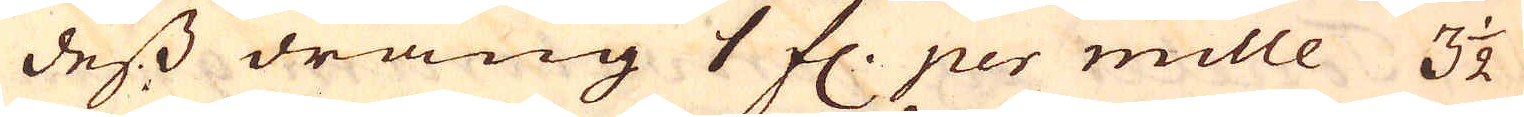dess dräng 1 fl. per mille 3 1/2
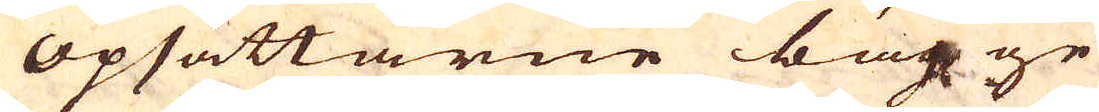opsättarne bägge
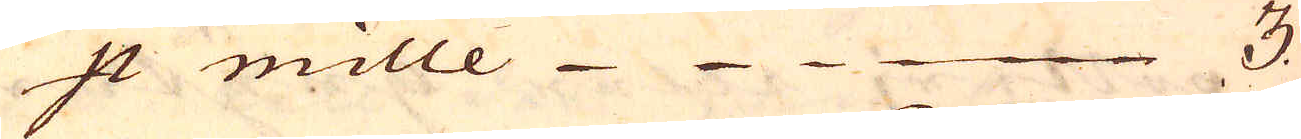p mille 3
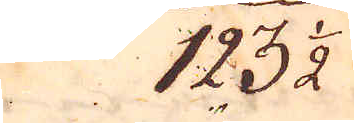123 1/2
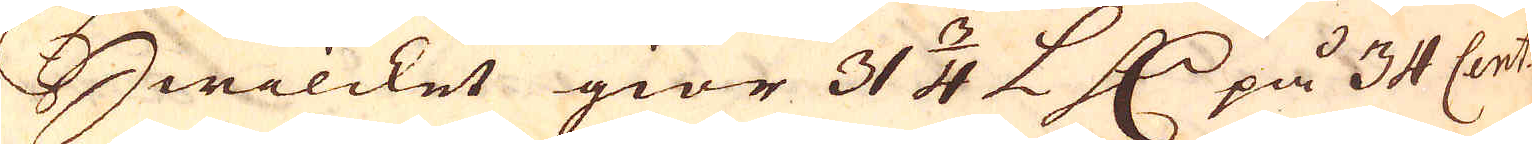Hwilcket giör 31 3/4 L h:dr på 34 Cent:
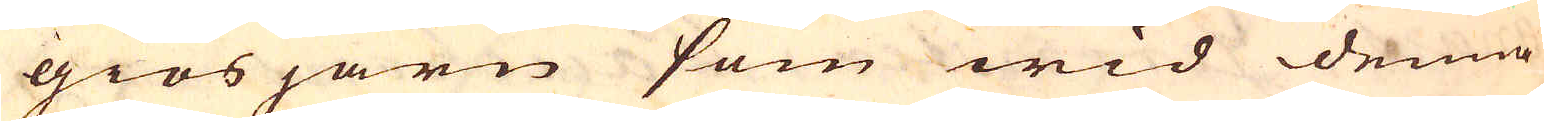giös järn som wid denna
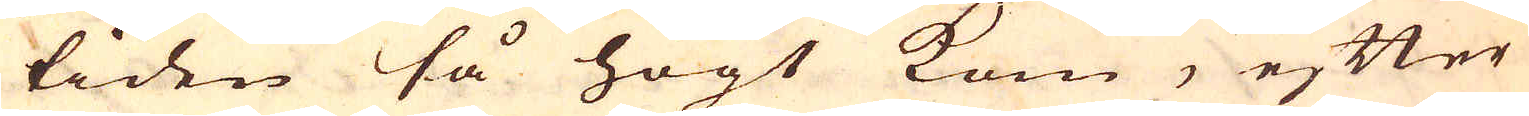tiden så högt kom, efter
